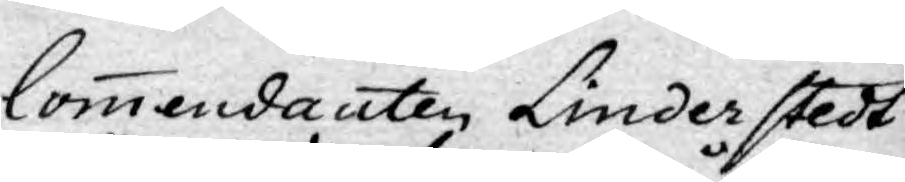Commendanten Linderstedt
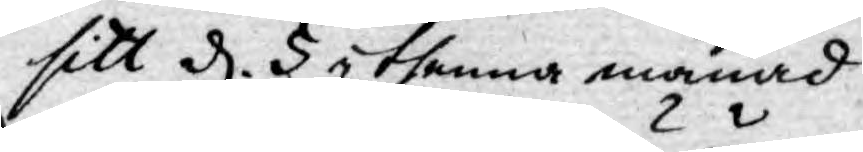sitt d. 5 i thenna månad
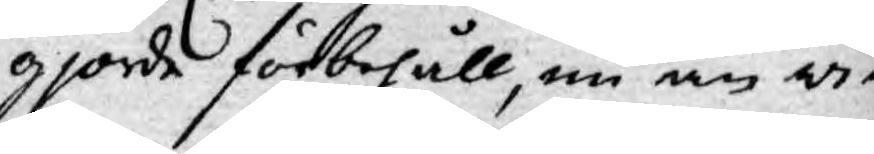gjorde förbehåll, nu än wi¬
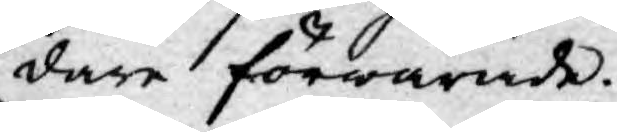dare förwarade.
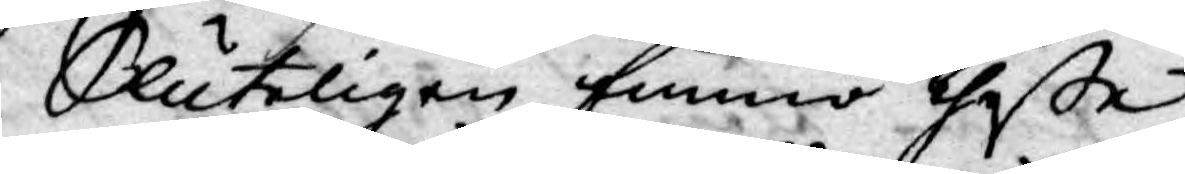Sluteligen funno theße
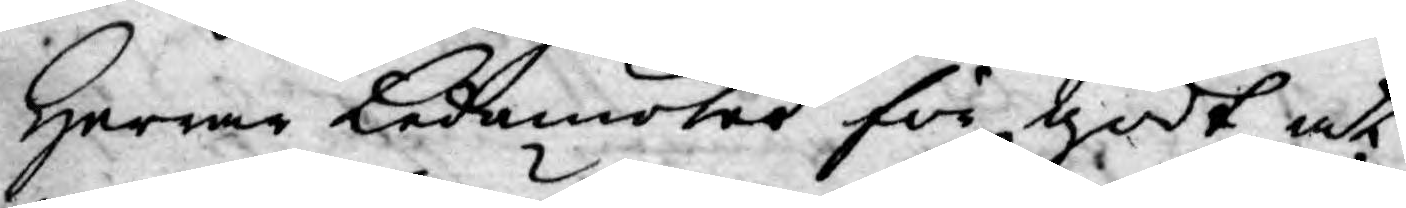Herrar Ledamöter för godt at
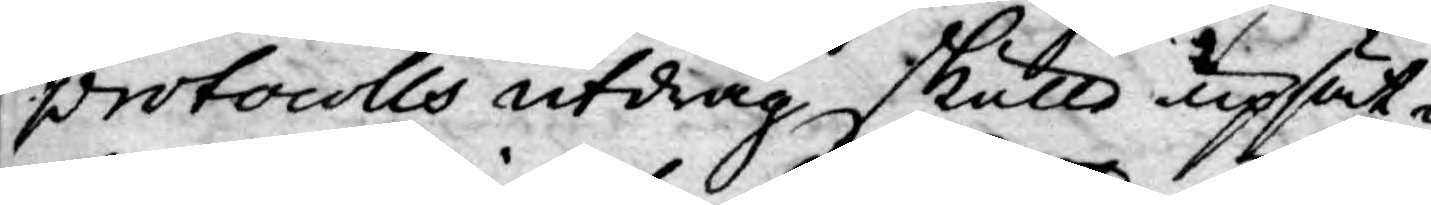protocolls utdrag skulle upsät¬
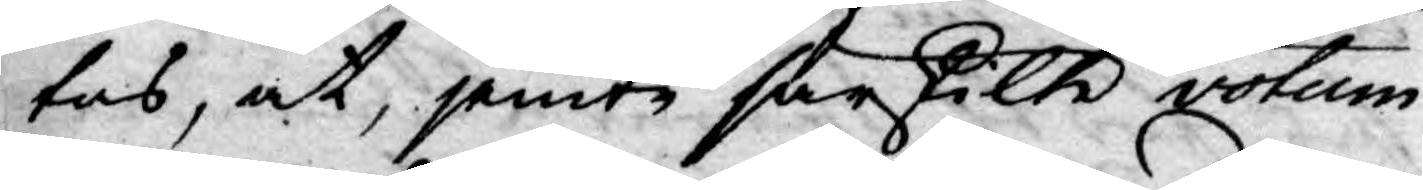tas, at, jemte särskilte votum
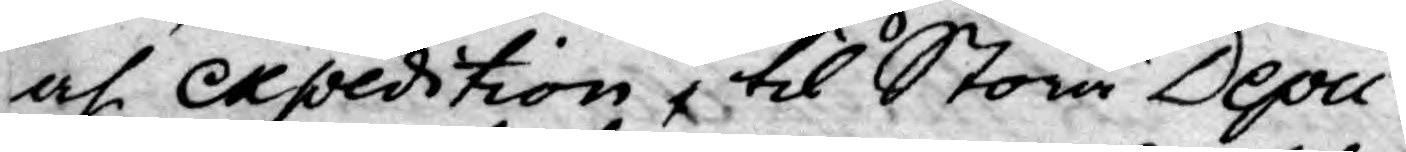och Expedition, til Stora Depu¬
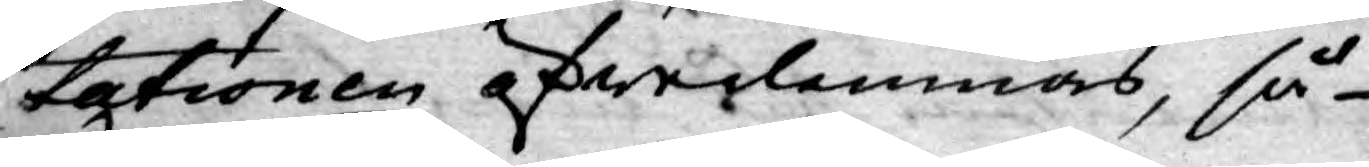tationen öfwerlemnas, så
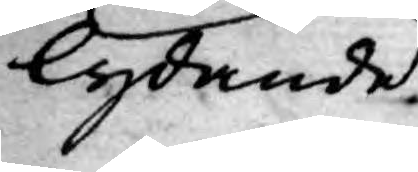lydande.
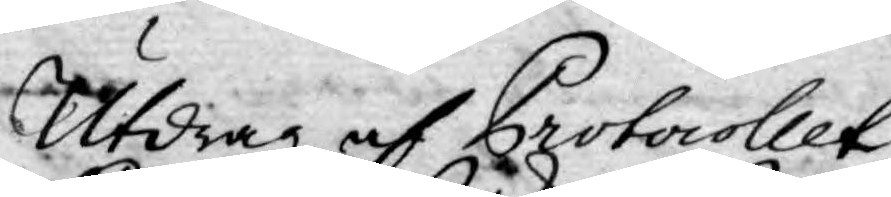Utdrag af Protocollet
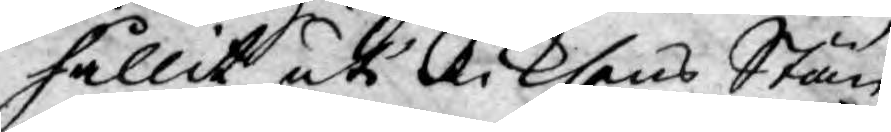hållit uti Riksens Stän¬
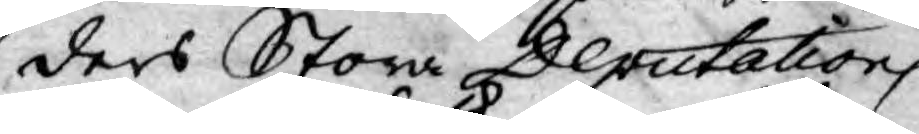ders Stora Deputations
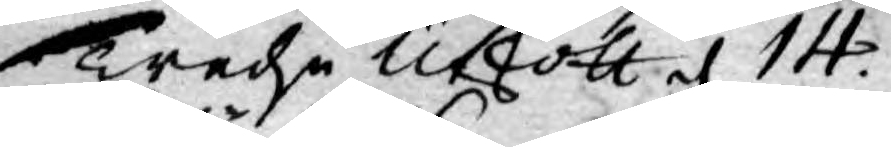Tredie Utskott d. 14.
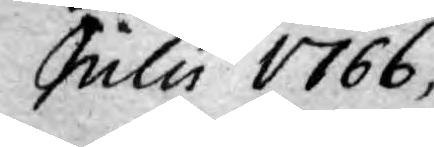Julii 1766,
